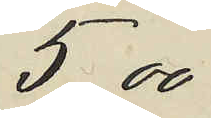5,00
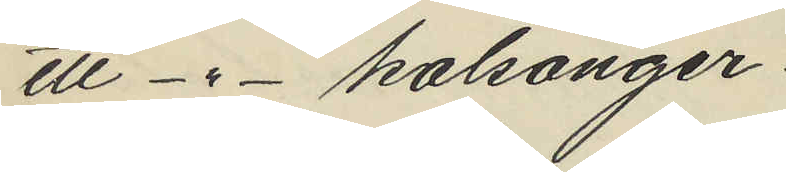ett -"- kalsonger
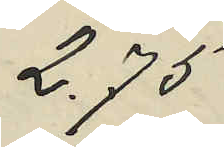2,75
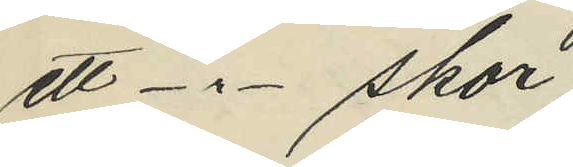ett -"- skor
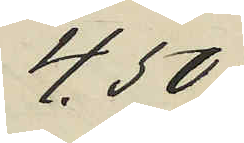4,50
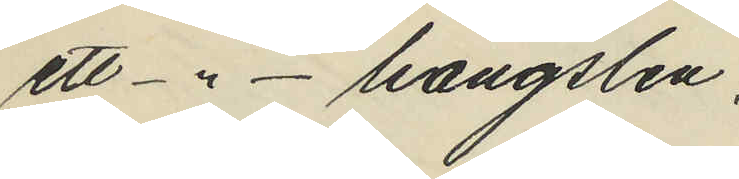ett -"- hängslen
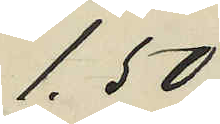1,50
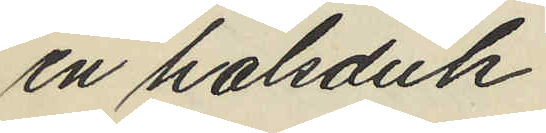en halsduk
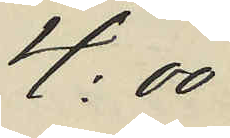4:00
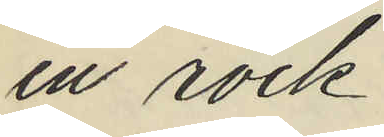en rock
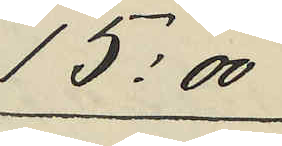15:00
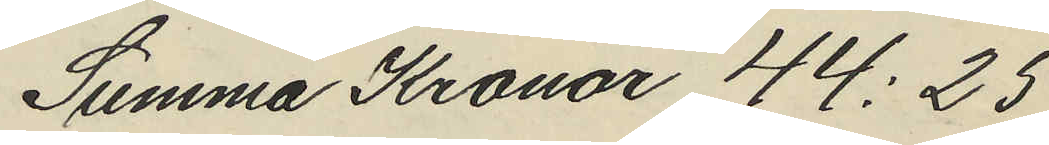Summa Kronor 44:25
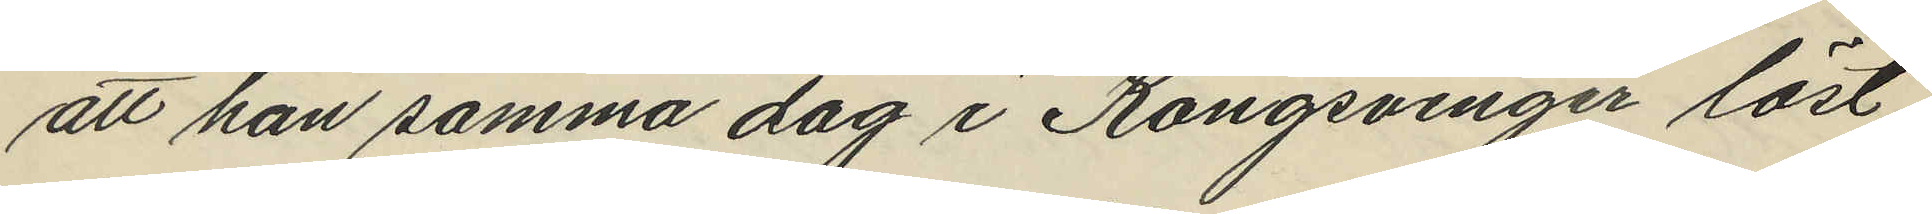att han samma dag i Kongsvinger löst
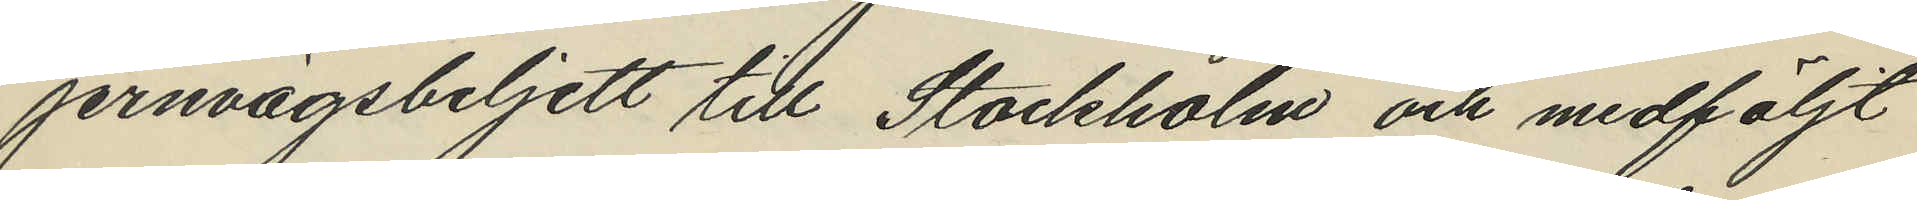jernvägsbeljett till Stockholm och medföljt
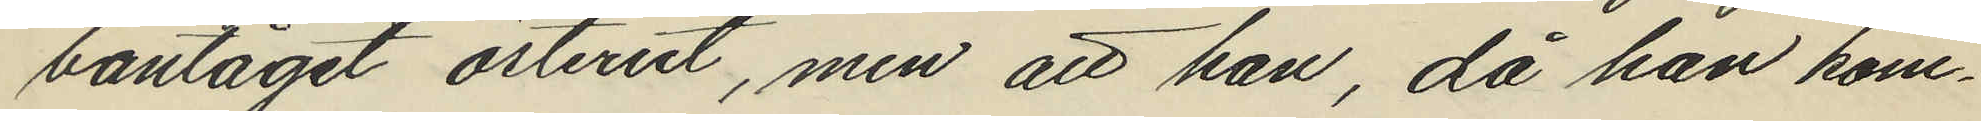bantåget österut, men att han, då han kom¬
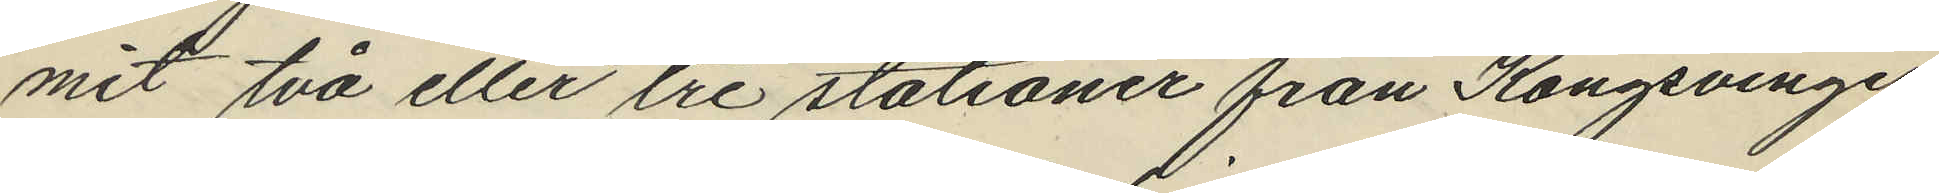mit två eller tre stationer från Kongsvinger
